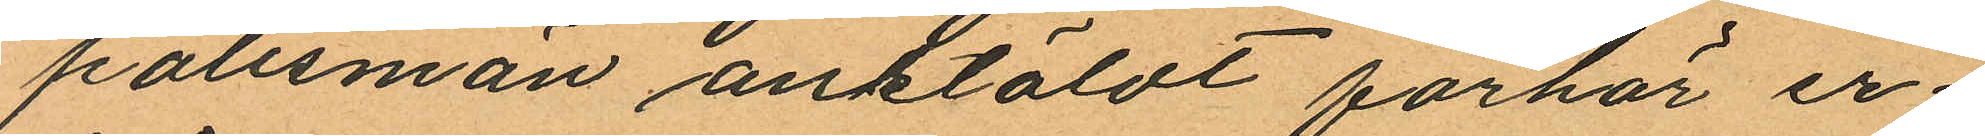polismän anstäldt förhör er
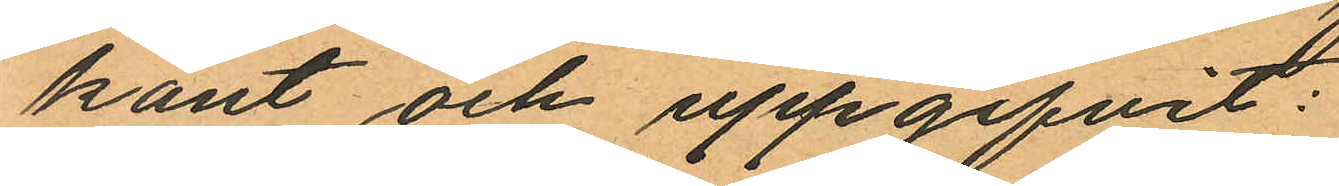känt och uppgifvit:
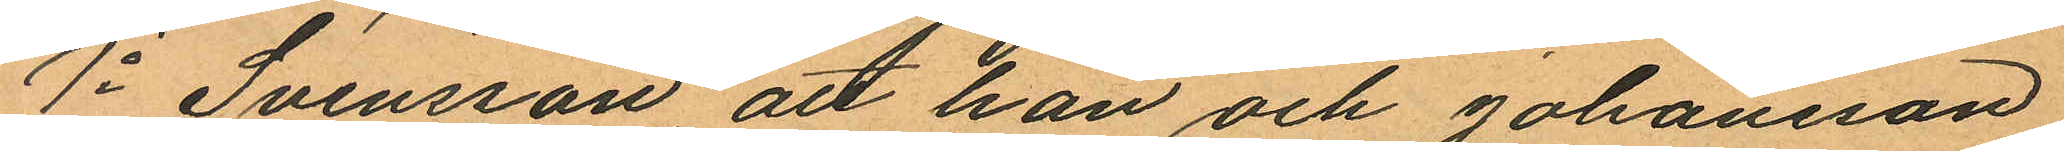1o Svensson att han och Johansson
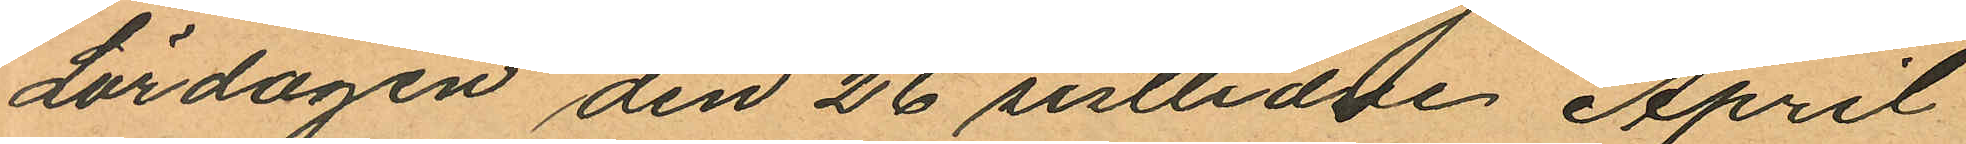Lördagen den 26 sistlidne April
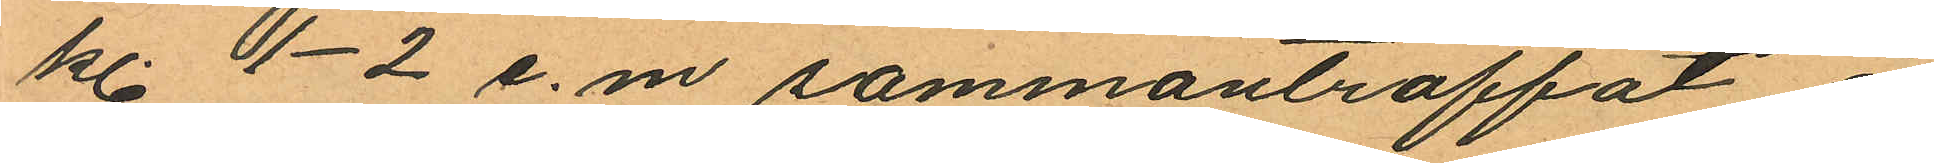kl. 1-2 e.m. sammanträffat å
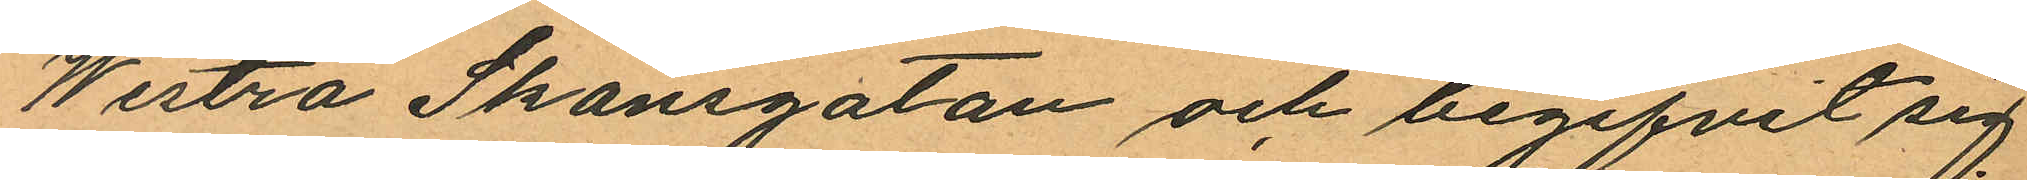Westra Skansgatan och begifvit sig
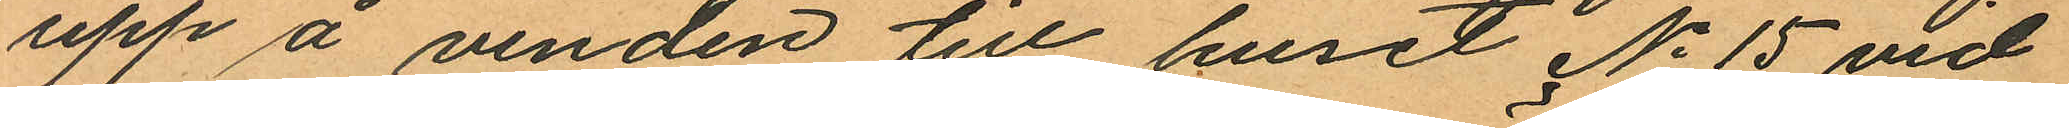upp å vinden till huset No 15 vid
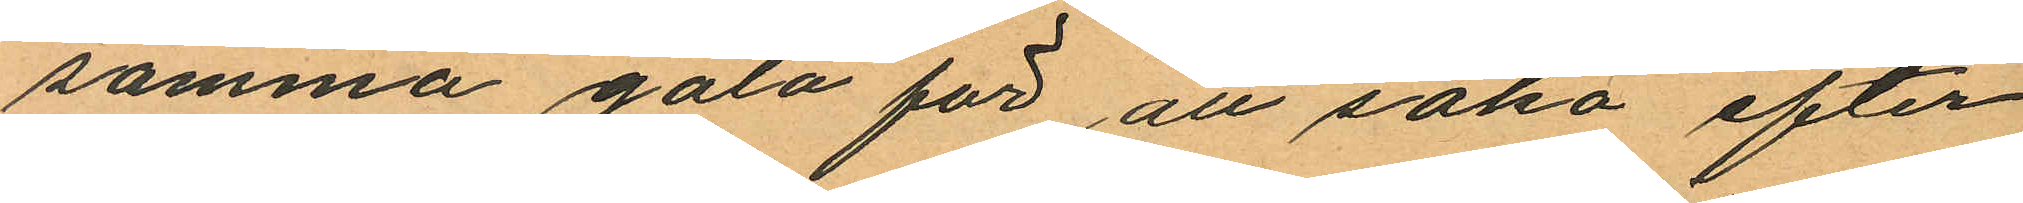samma gata för att söka efter
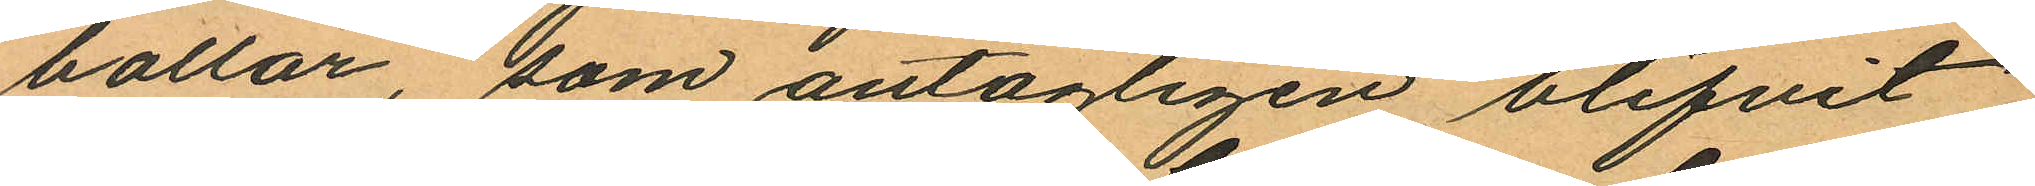bollar, om antagligen blifvit
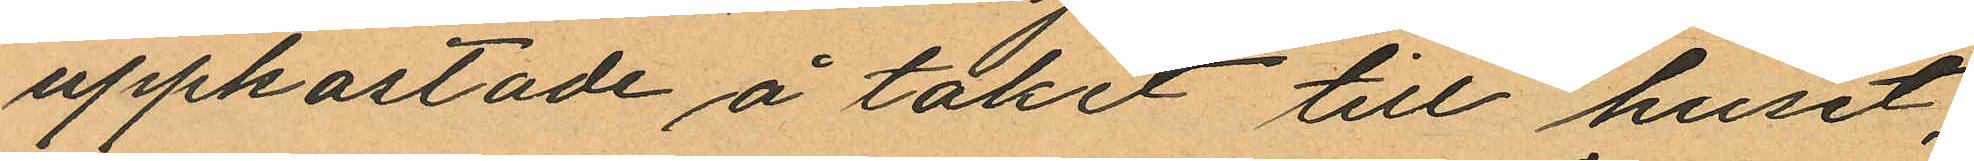uppkastade å taket till huset,
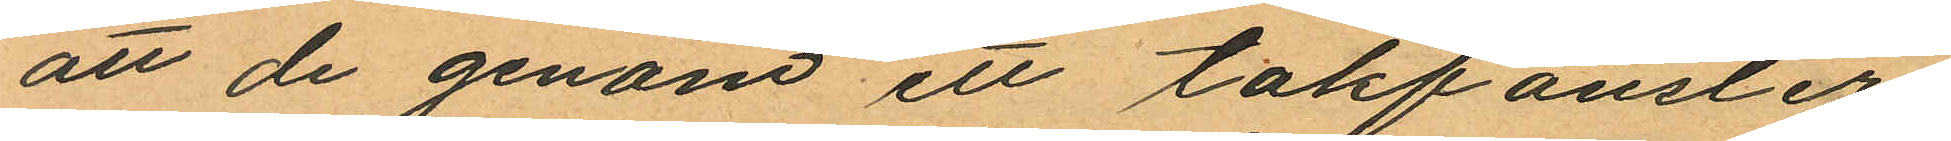att de genom ett takfönster
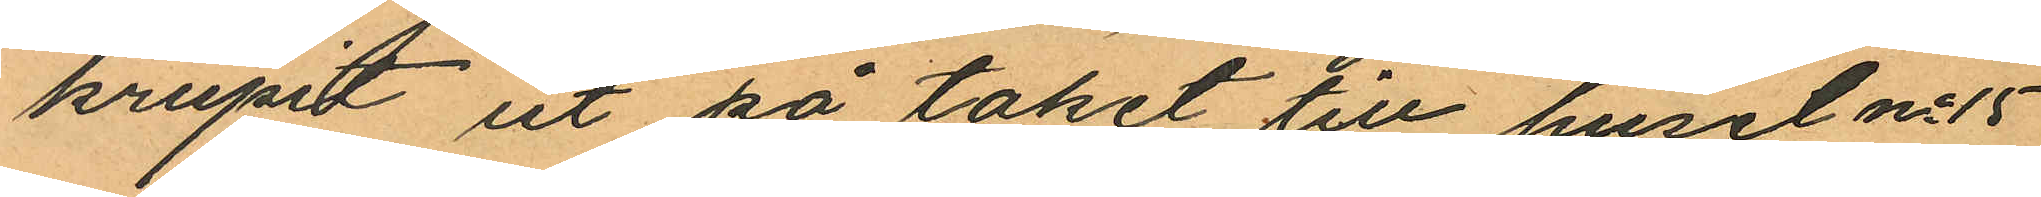krupit ut på taket till huset No 15
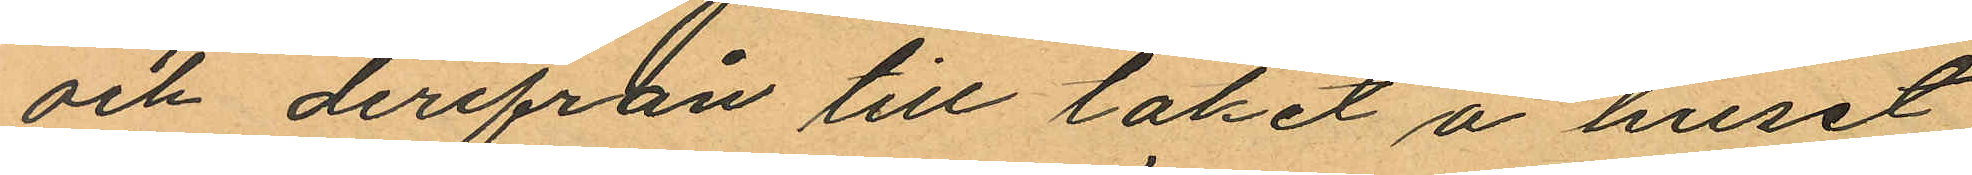och derifrån till taket å huset
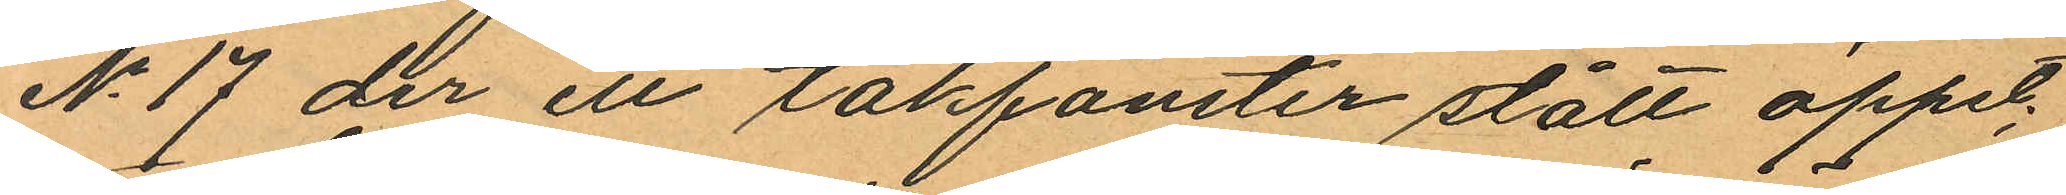No 17 der ett takfönster stått öppet;
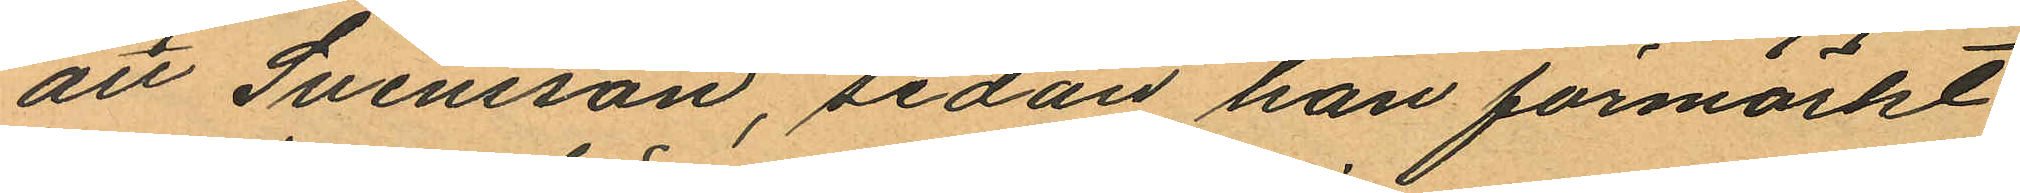att Svensson, sedan han förmärkt
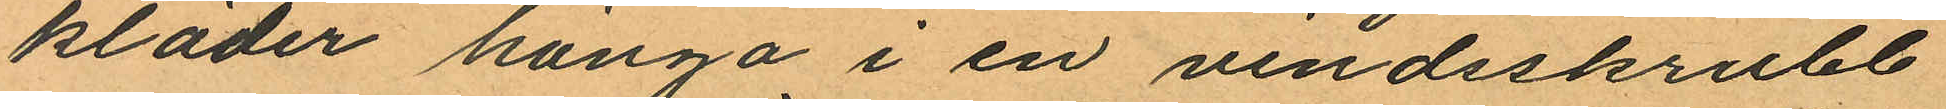kläder hänga i en vindsskrubb
